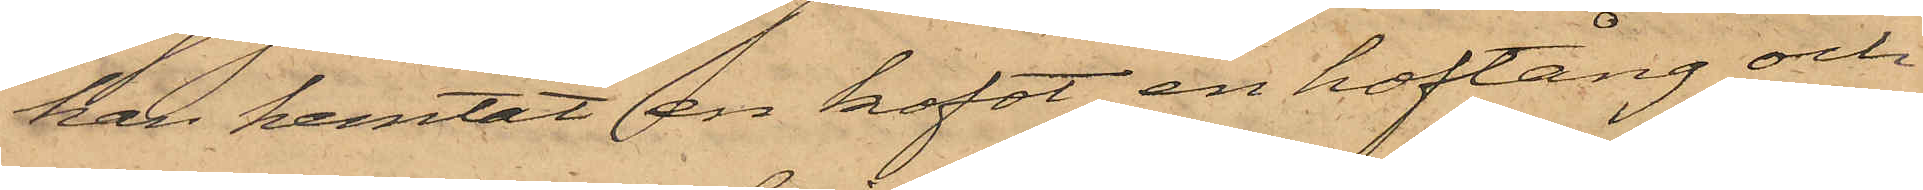han hemtat en kofot, en hoftång och
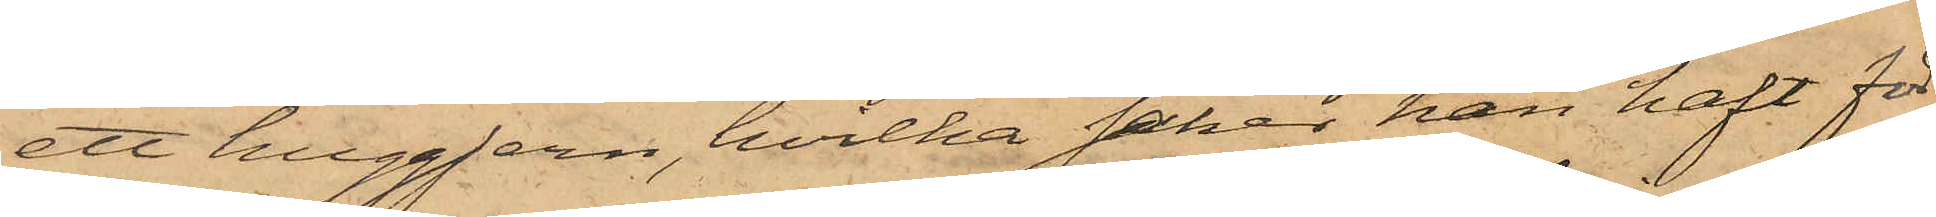ett huggjern, hvilka saker han haft för¬
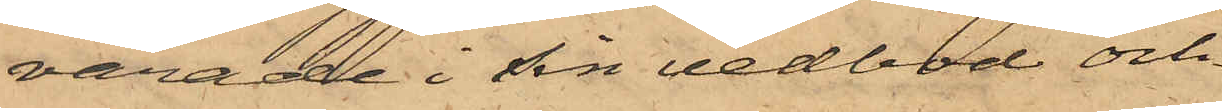varade i sin vedbod och
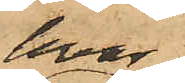hvar¬
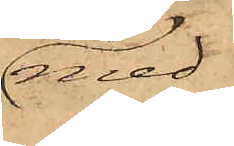med
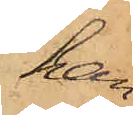han
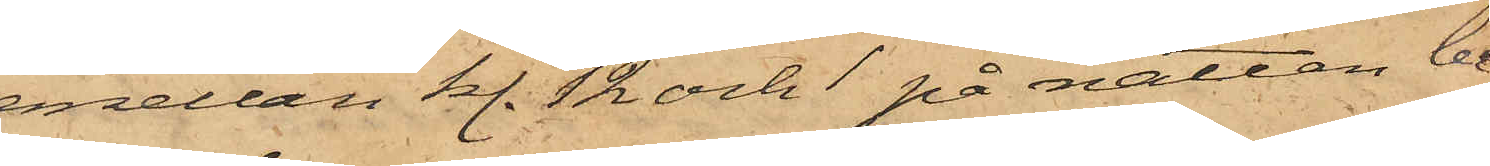mellan kl. 12 och 1 på natten be¬
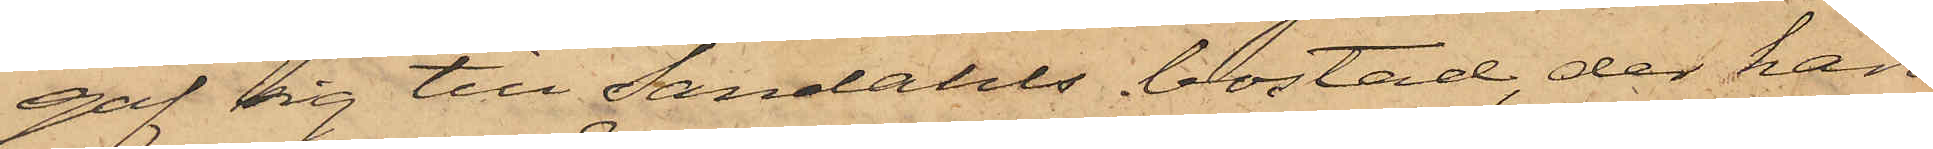gaf sig till Sandahls bostad, der han
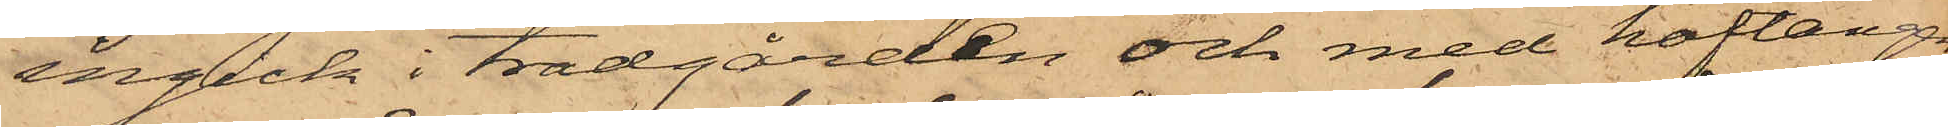ingick i trädgården och med hoftången
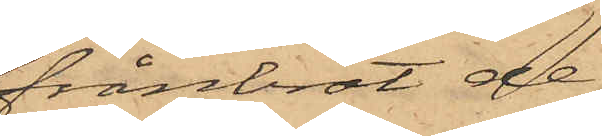frånbröt de
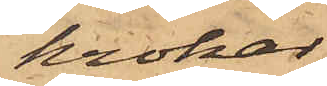krokar
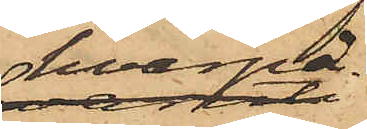hvarpå
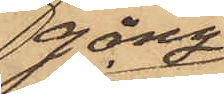gång¬
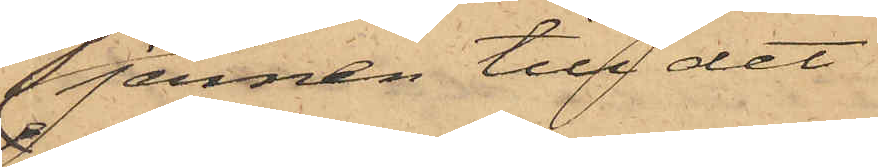jernen till det
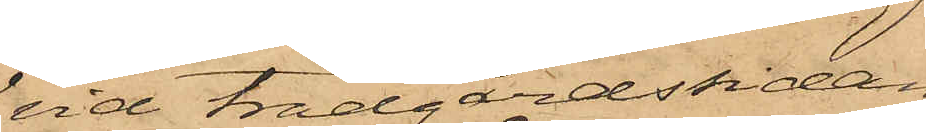vid trädgårdssidan
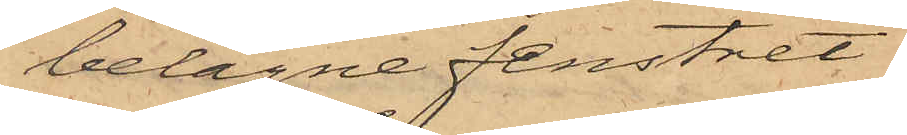belägne fenstret
